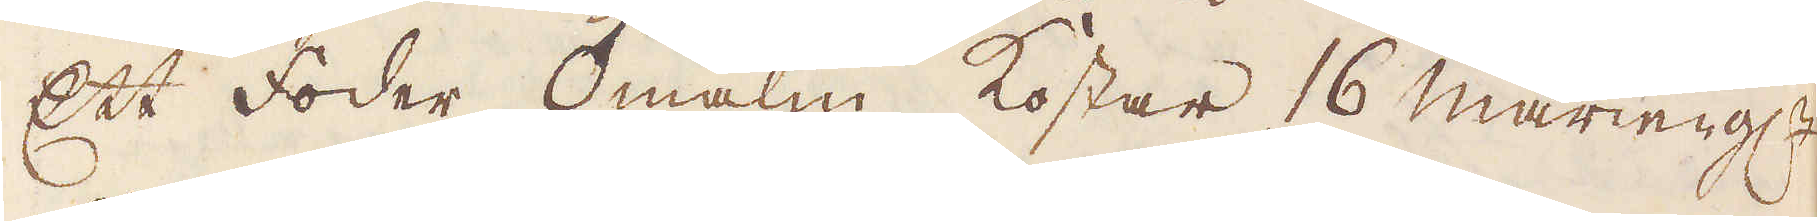Ett foder ♂malm kostar 16 marieng:r
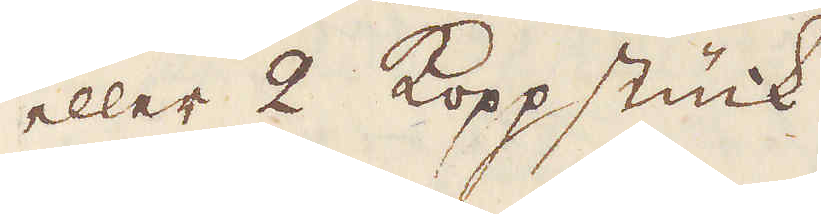eller 2 Koppstück.
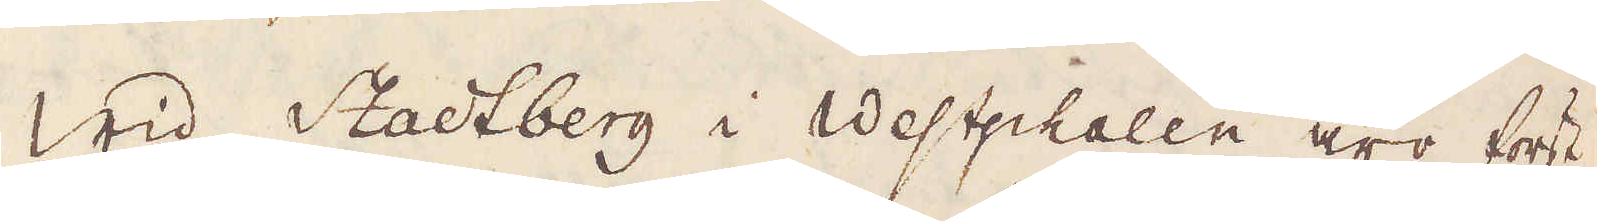Wid Stadtberg i Westphalen äro först
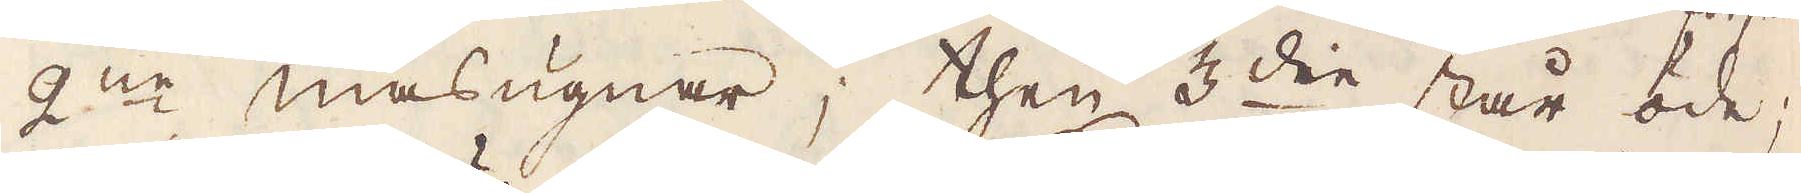2:ne masugnar, then 3:die står öde;
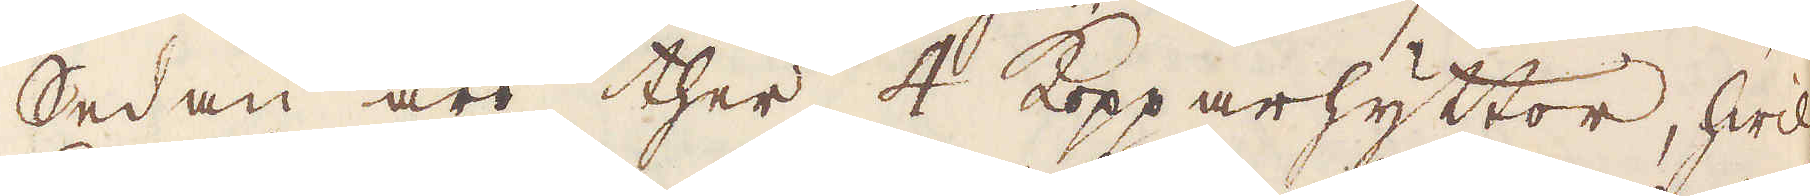Sedan äro ther 4 Kopparhyttor, hwil-
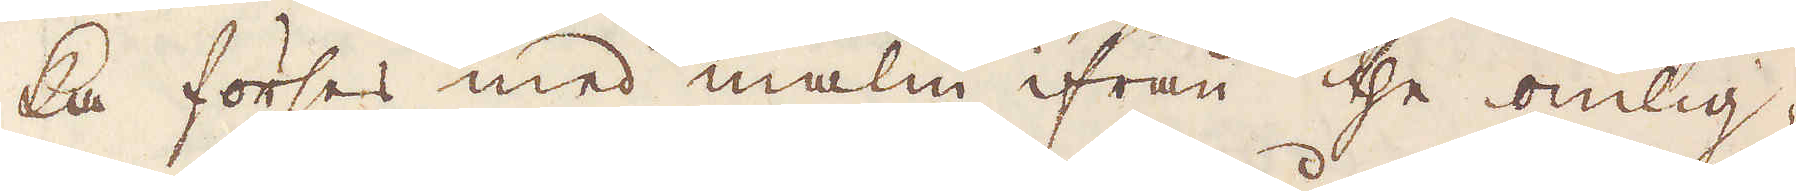ka förses med malm ifrån the omlig-
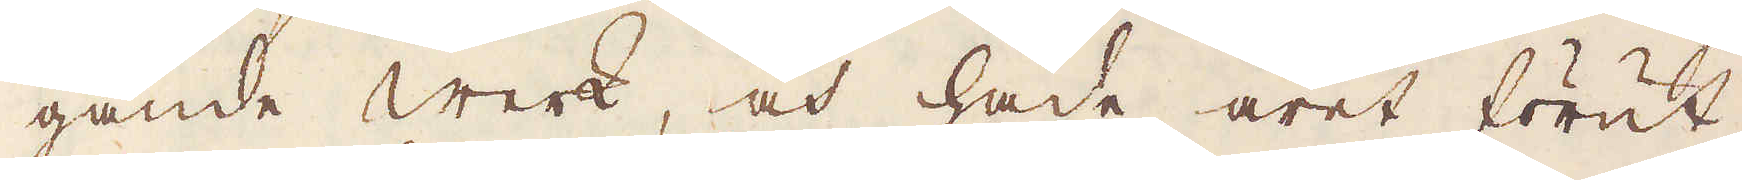gande Werk, och hade året förut
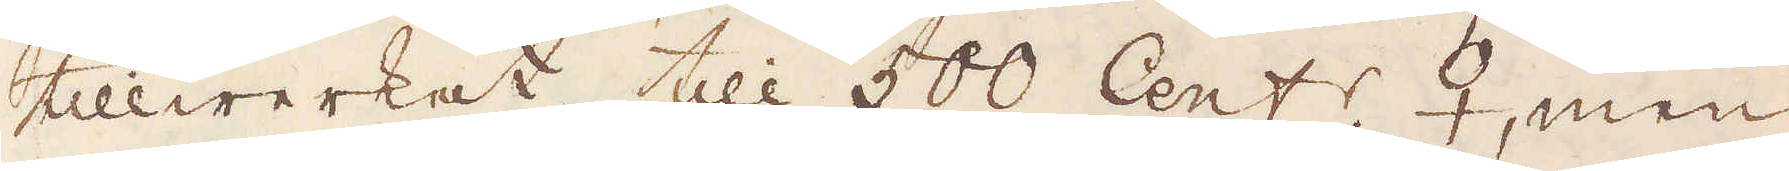tillwerkat till 500 Cent:r ♀, men
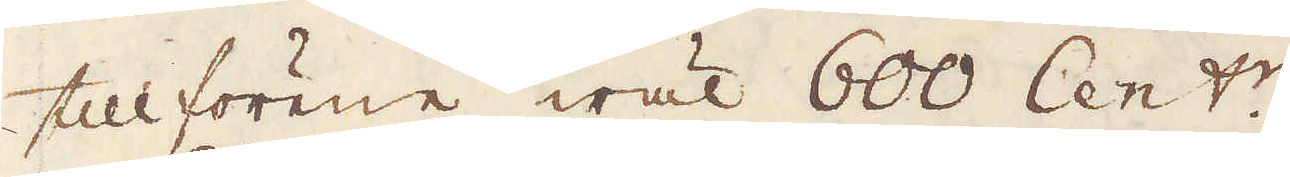tillförene wäl 600 Cent:r.
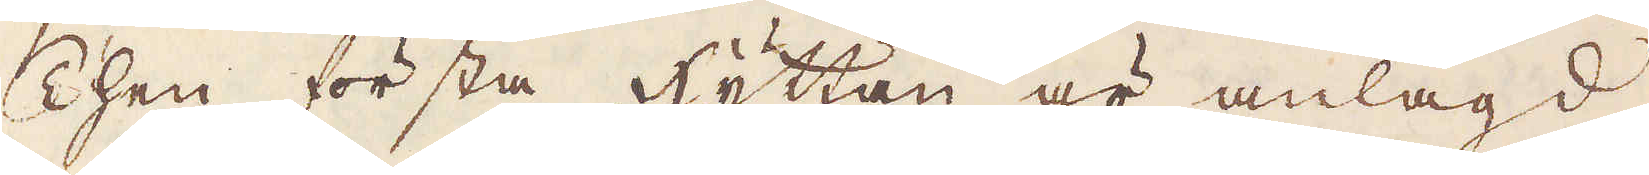Then första hyttan är anlagd
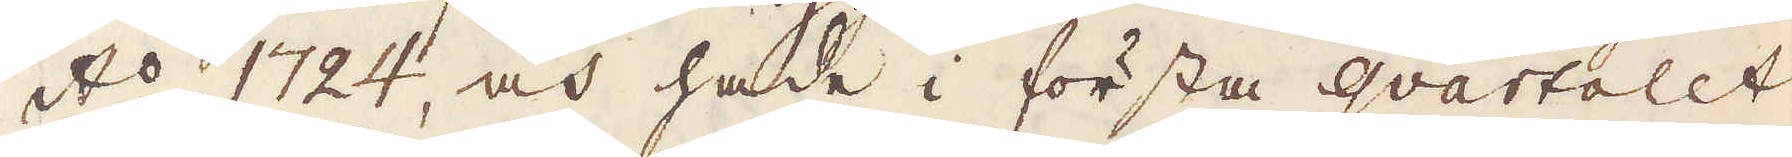A:o 1724, och hade i första Gwartalet
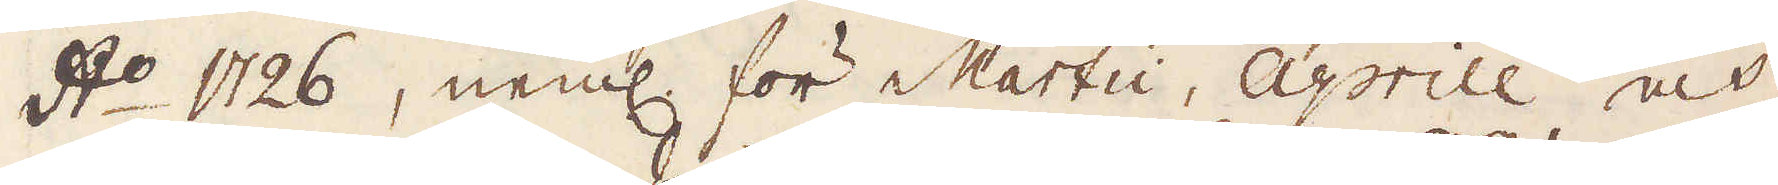A:o 1726, neml: för Marti, Aprill och
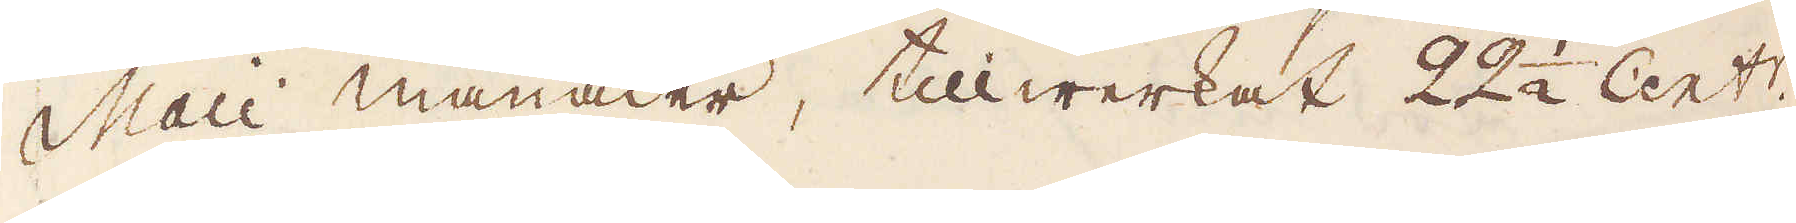Maii månader, tillwerkat 22 1/2 Cent:r.
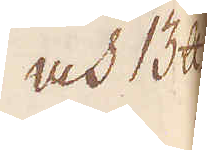och 13 skålpund
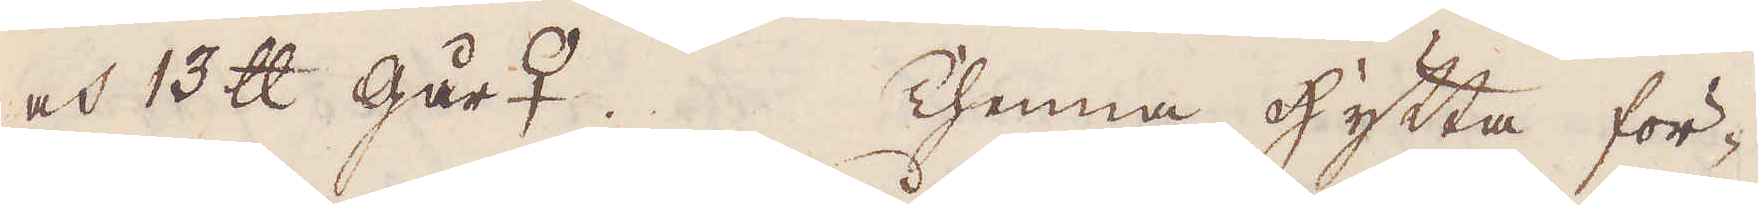och 13 skålpund går♀. Thenna hytta för-
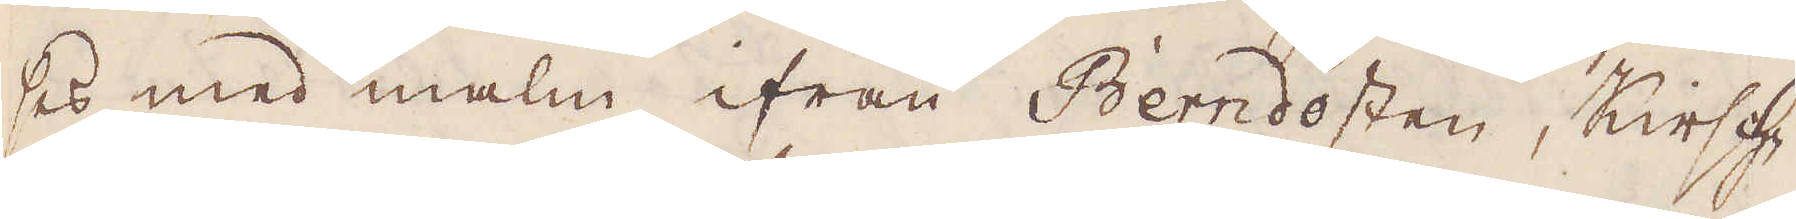ses med malm ifrån Berndosten, Kirsch-
